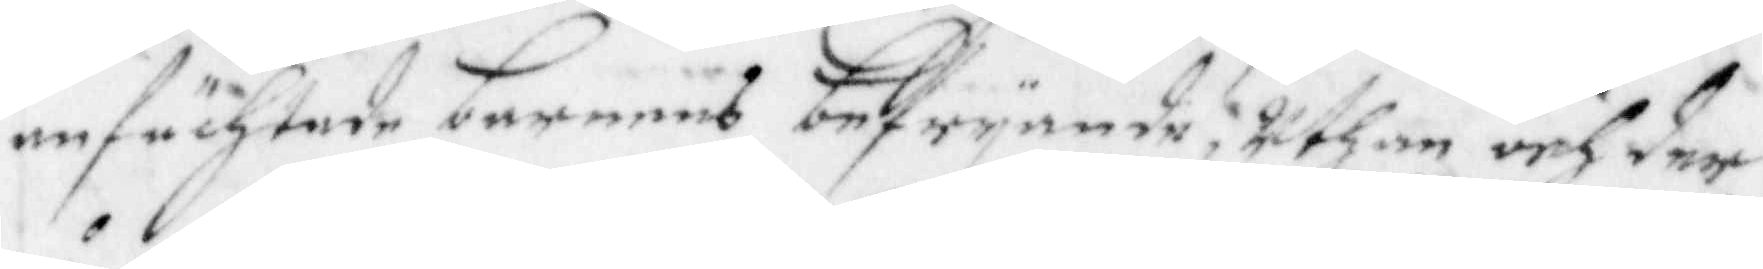anfächtade barnens befryande; Uthan och der
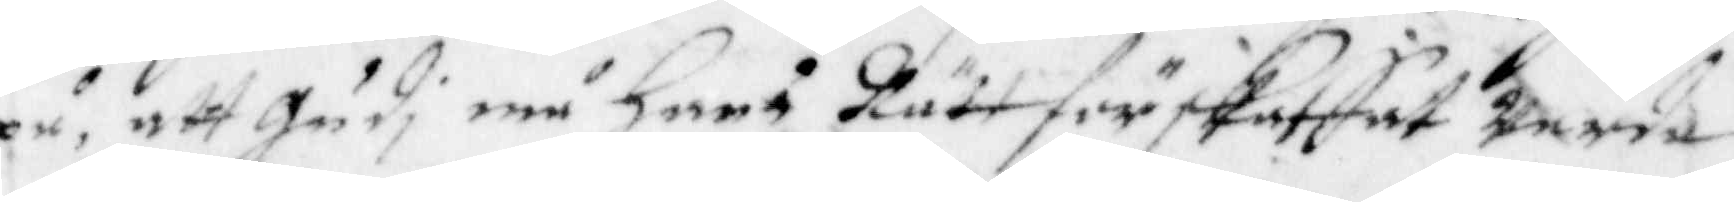på, att Gudi må Harå Rätt förskaffat Warda
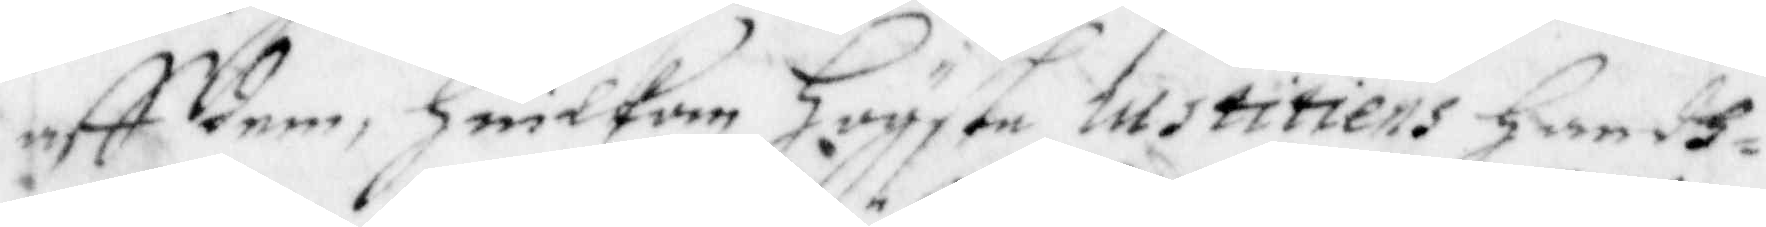aff dem, Huidkom Högste Institiens Handh¬
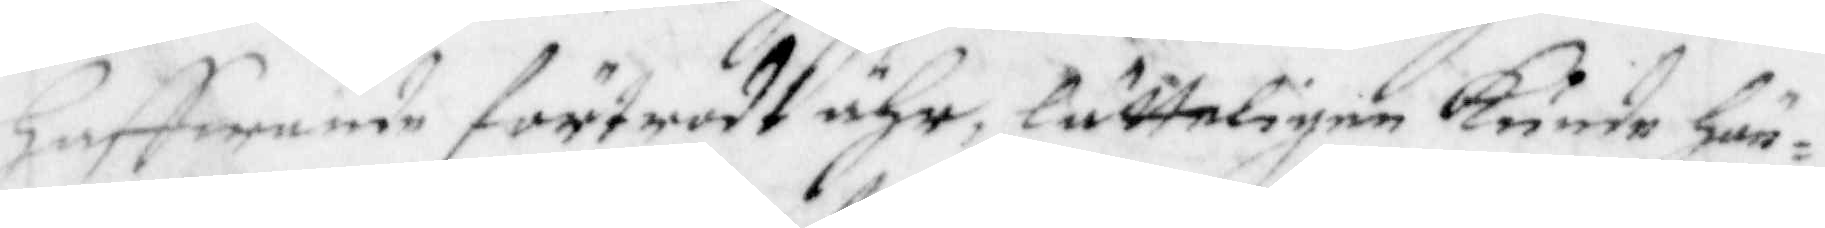haffwande förtrodt ähr, lätteligen Kunde Hän¬
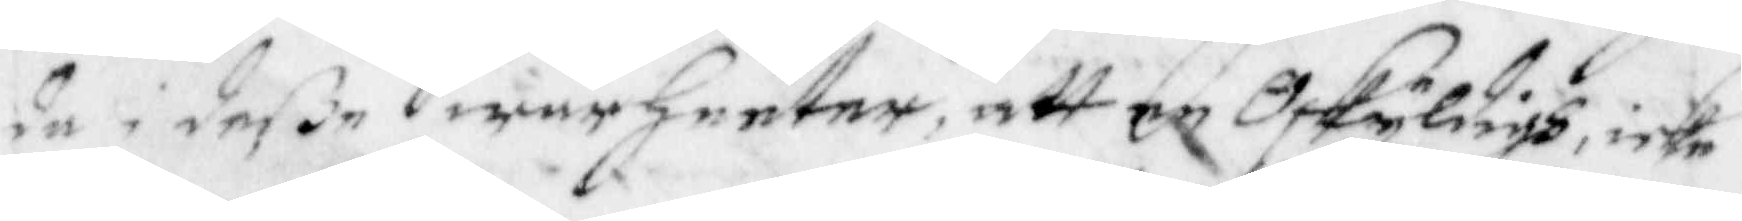da i deße Swårheeter, att en Oskyldigh, icke
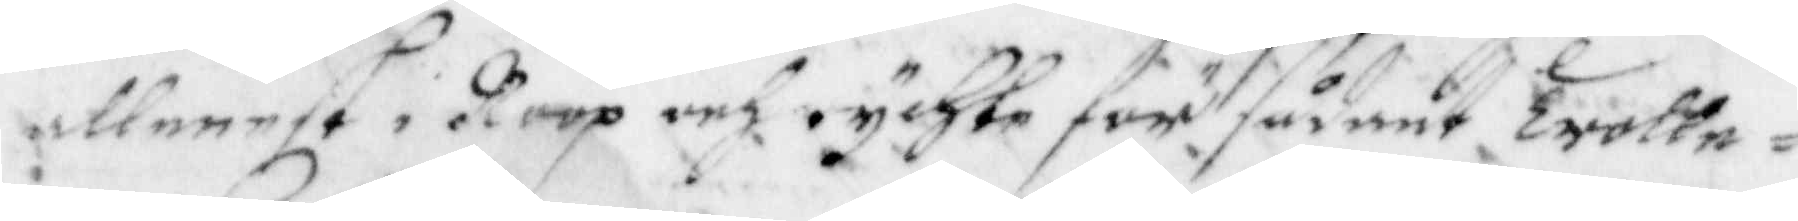allenast i Roop och rychte för sådant Trolle¬
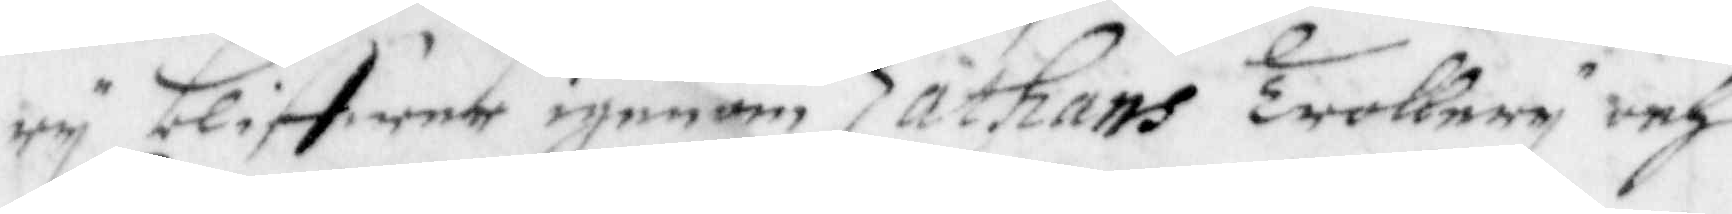ry bliffwer igenom Zathans Trollery och
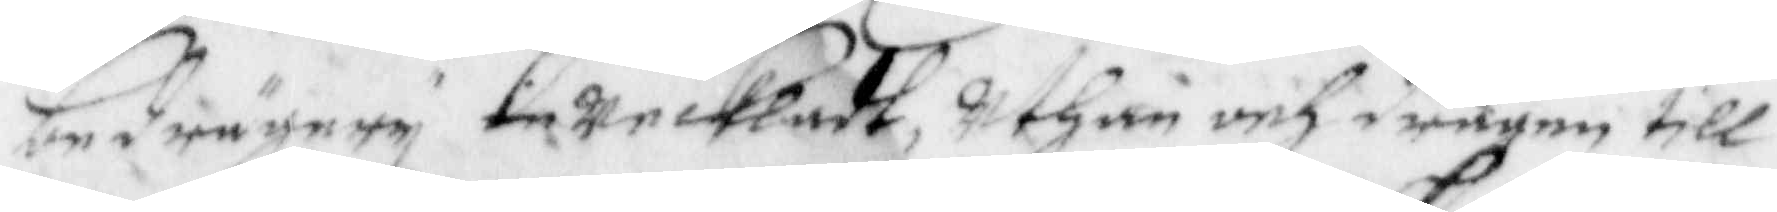bedrågery inweckadt, Uthan och dragen till
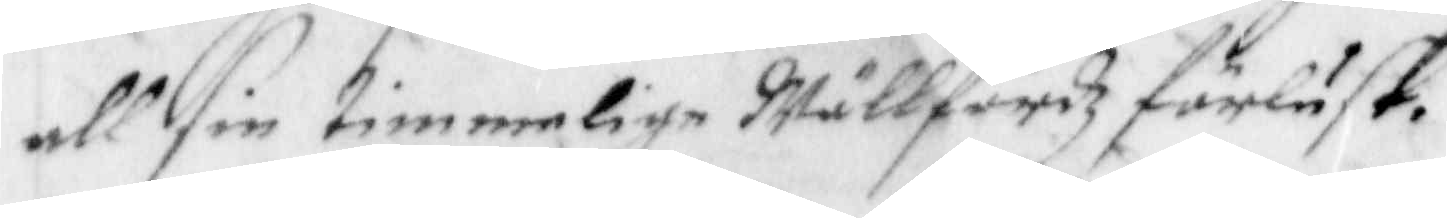all sin Timmelige Wällfärdz förlust.
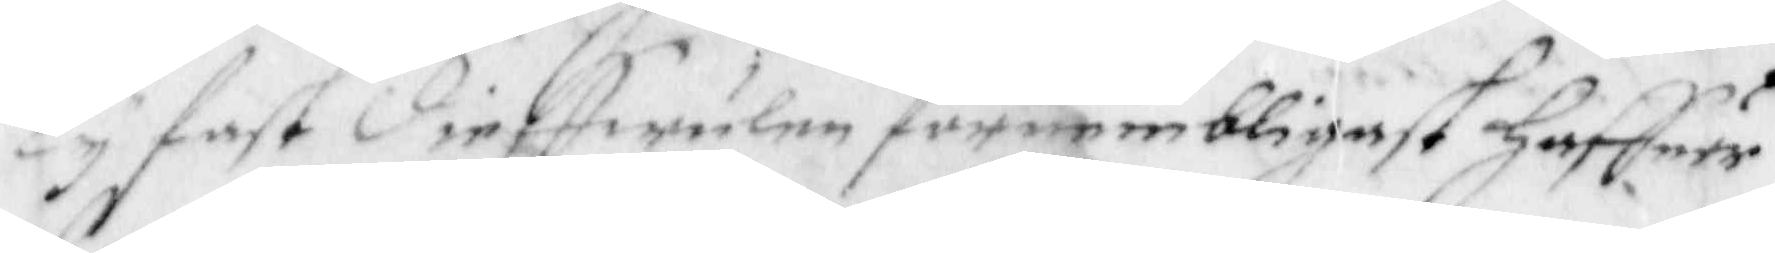Ty fast dieffwulen förnembligast Haffuer
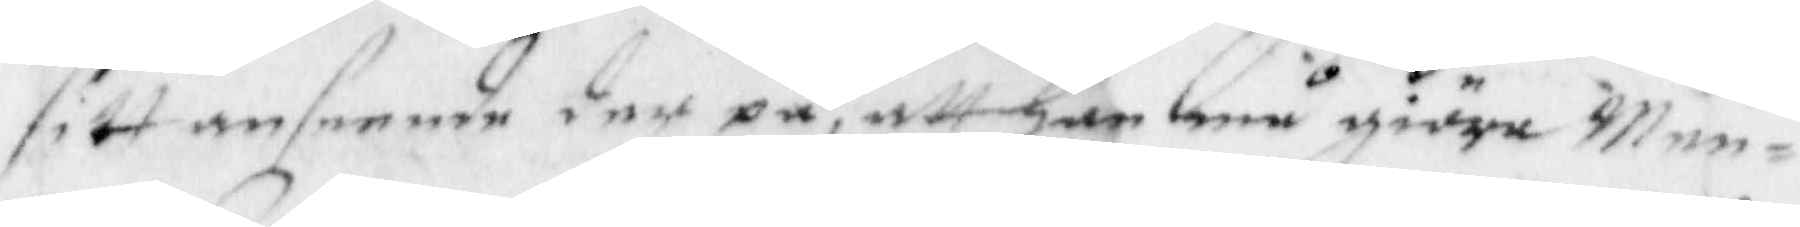sitt enseende der på, att han må giöra Men¬
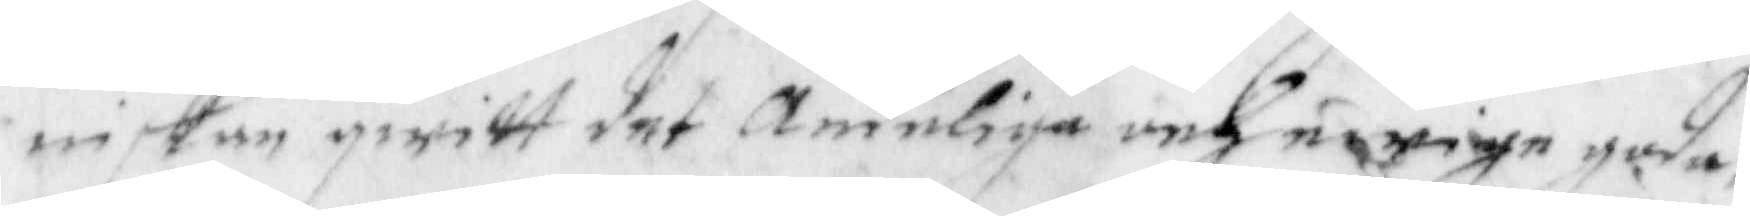niskan qwitt det Andeliga och ewige goda
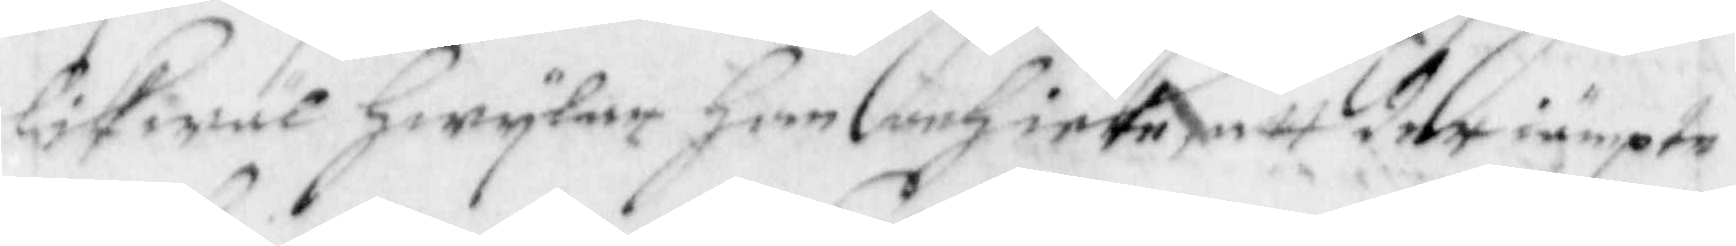likwäl Hwylar Han och icke att der iämpte
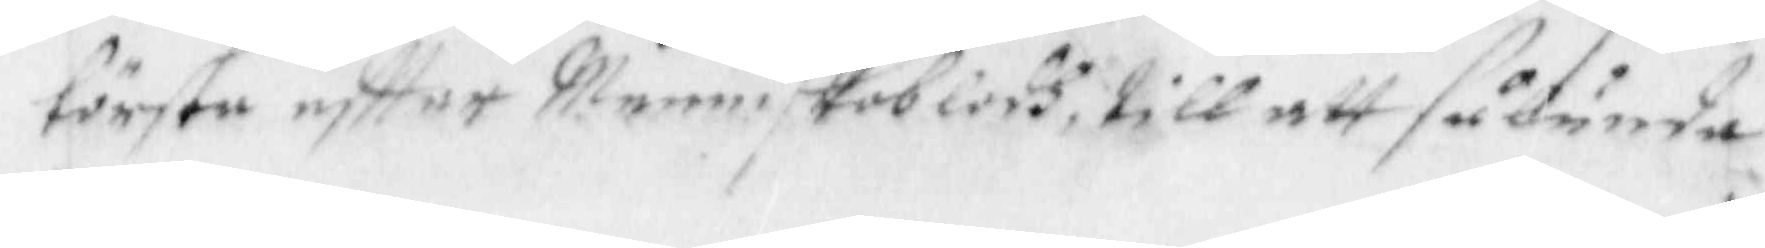törsta eftter Menniskoblodh till att sålunda
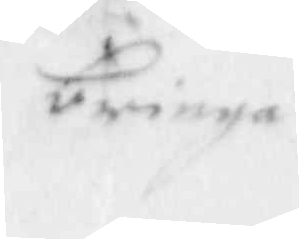bringa
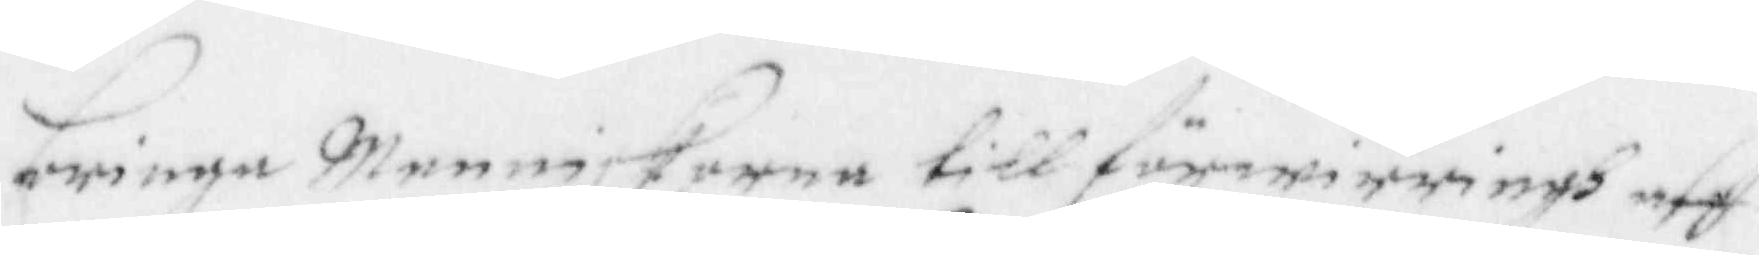bringa Menniskorna till förwirringh aff
